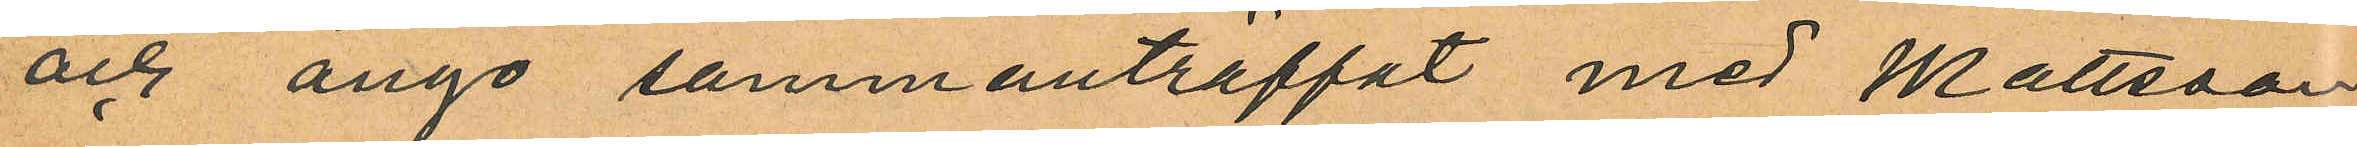och ånyo sammanträffat med Mattsson
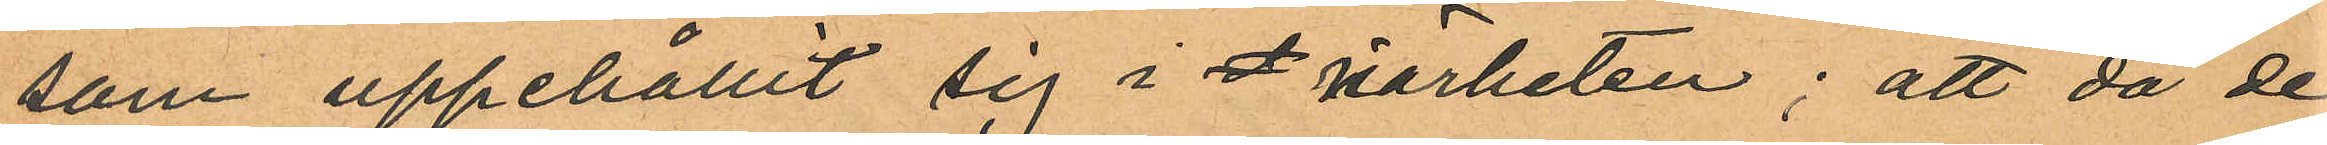som uppehållit sig i I närheten; att då de
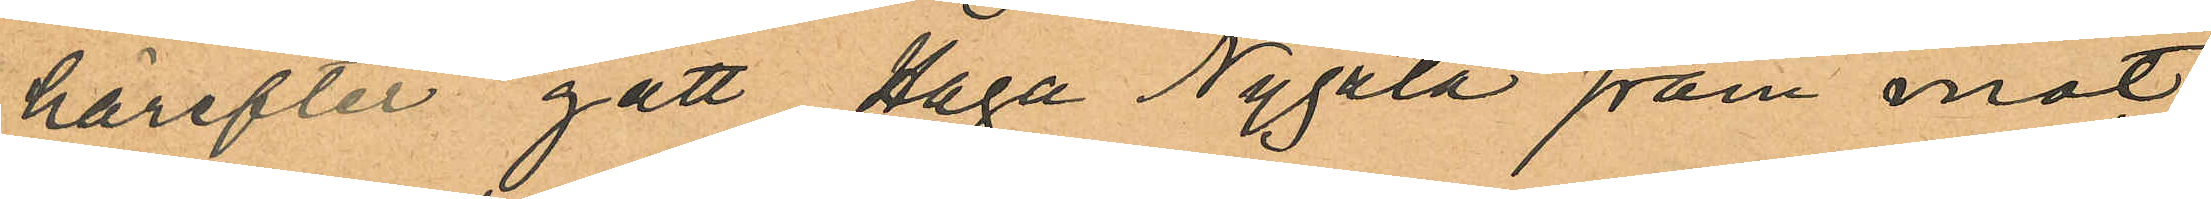härefter gått Haga Nygata fram mot
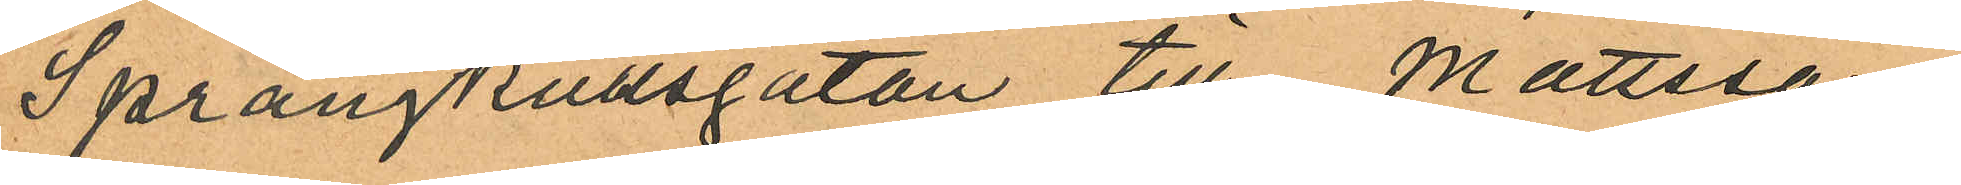Sprängkullsgatan till, Mattsson
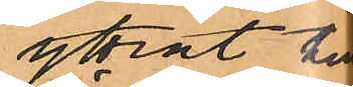yttrat till
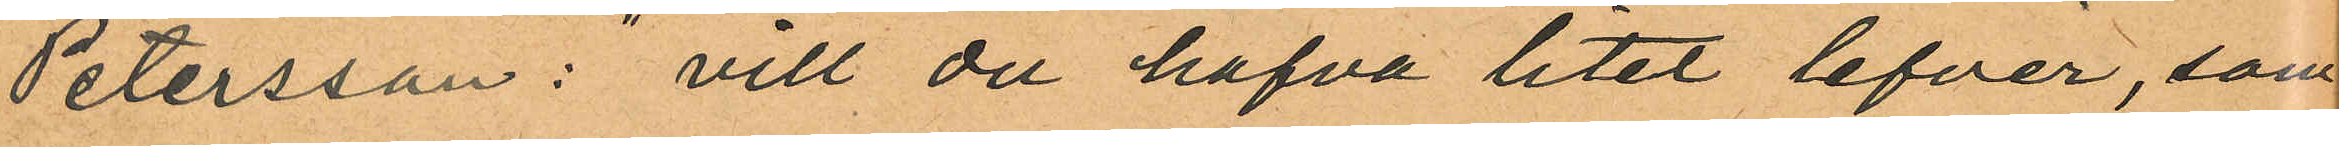Petersson: "vill du hafva litet lefver, som
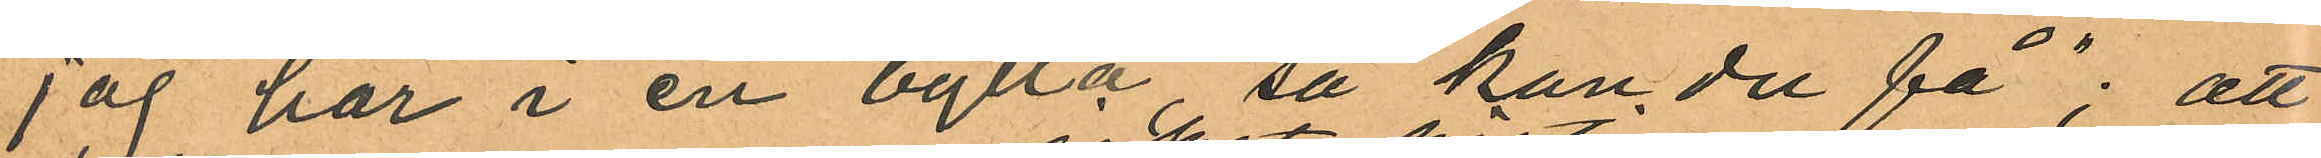jag har i en bytta, så kan du få"; att
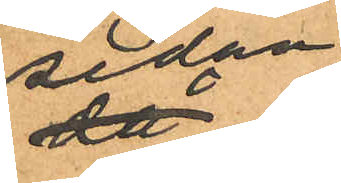sedan
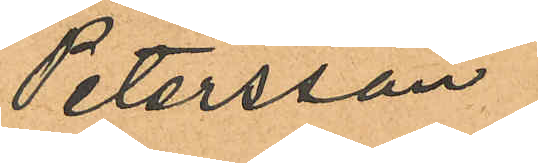Petersson
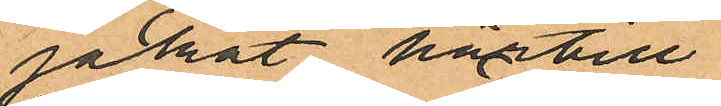jakat härtill
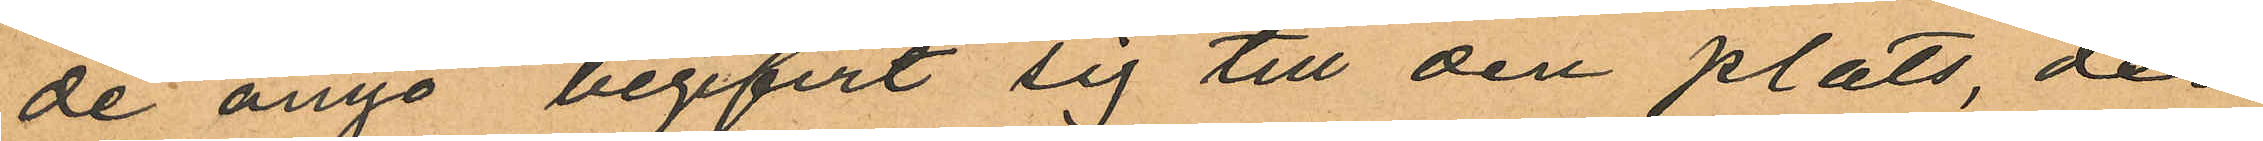de ånyo begifvit sig till den plats, der
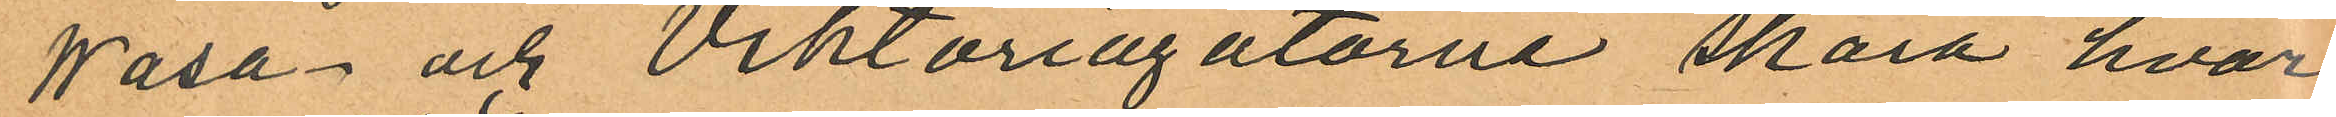Wasa och Viktoriagatorne skära, hvar¬
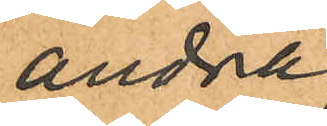andra
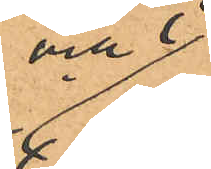mal
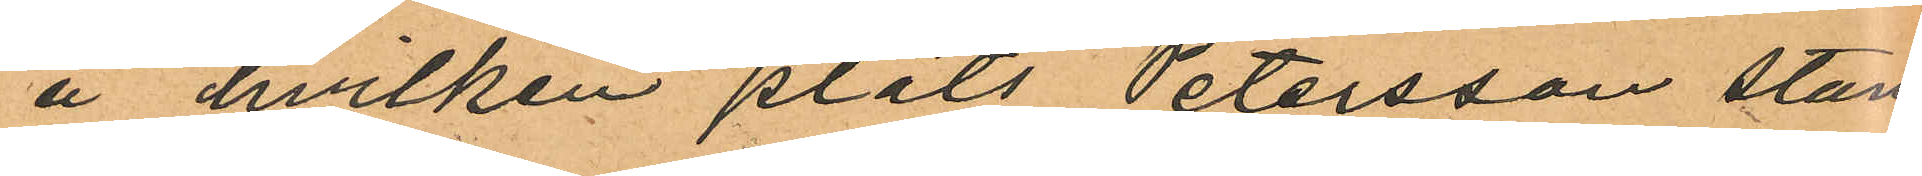å hvilken plats Petersson stan
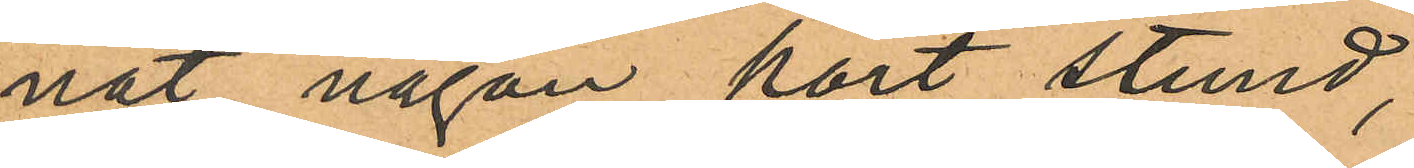nat någon kort stund,
